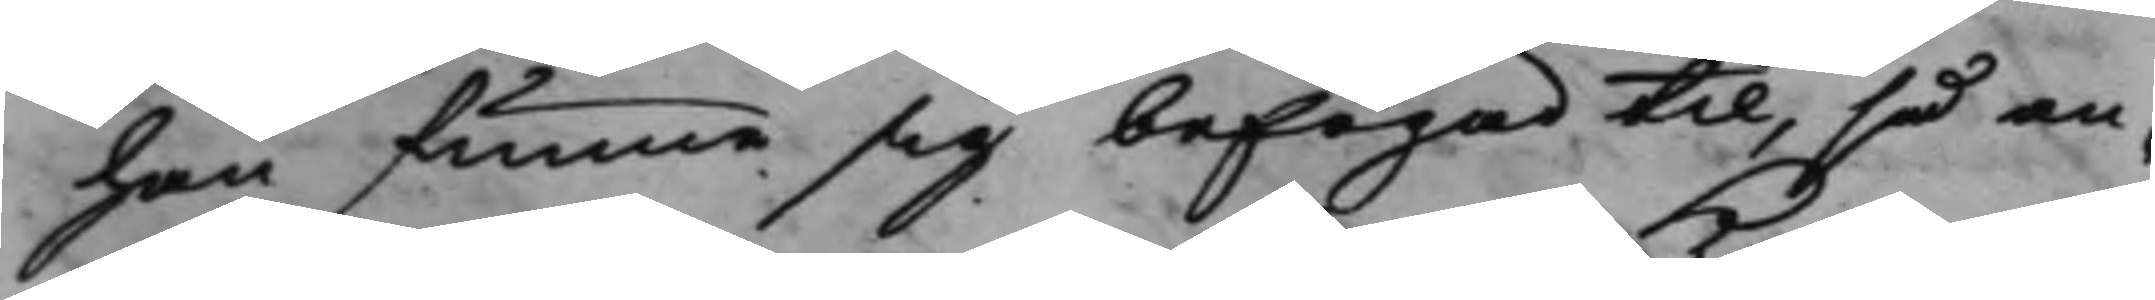han funne sig befogad til, så an¬
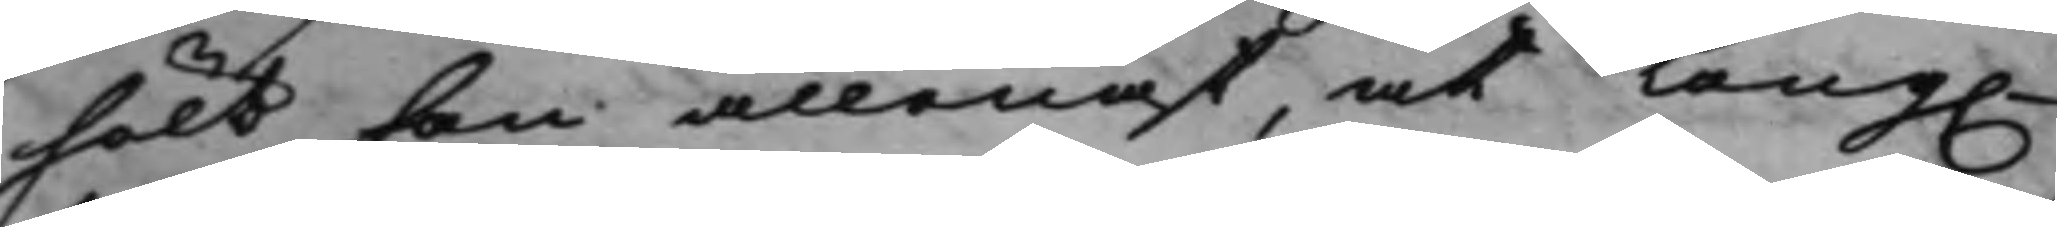hölt han allenast, at Kong. 
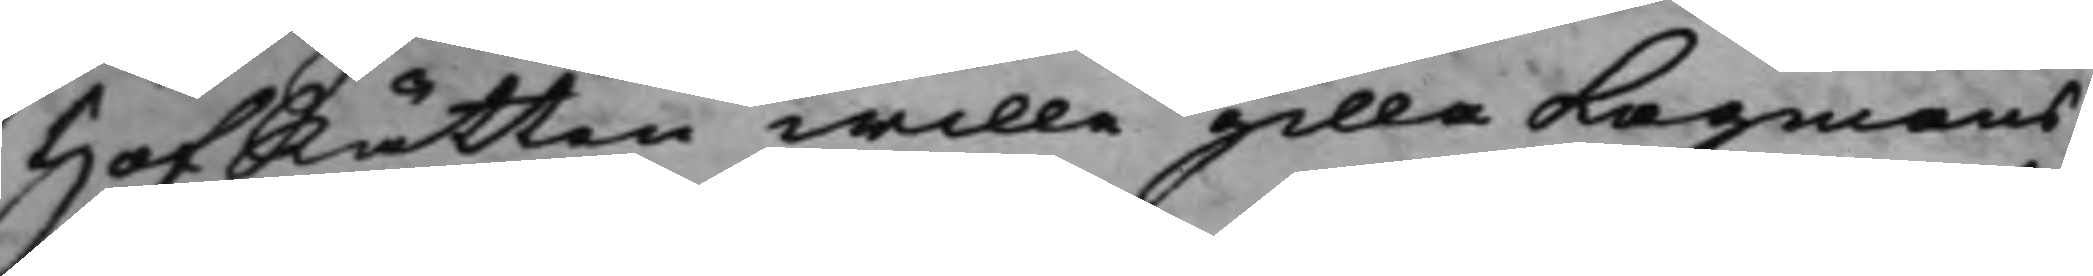HofRätten wille gilla Lagmans¬
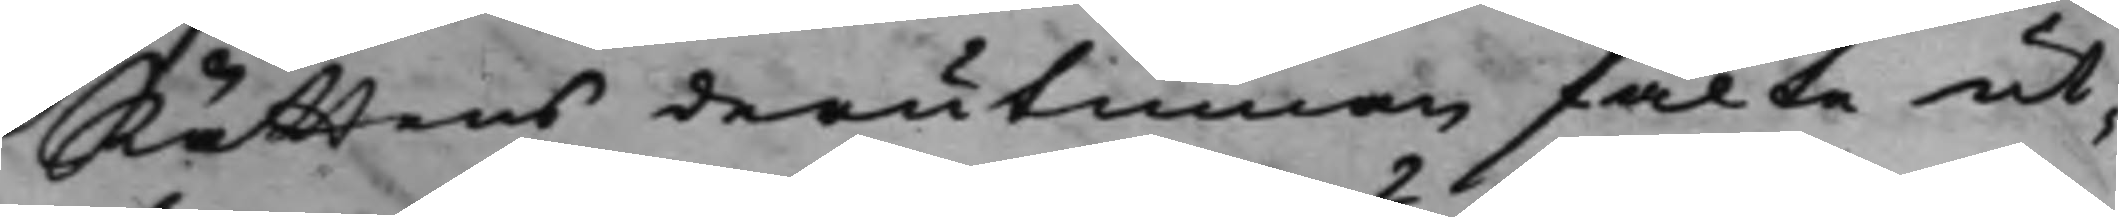Rättens derutinnan fälte ut¬
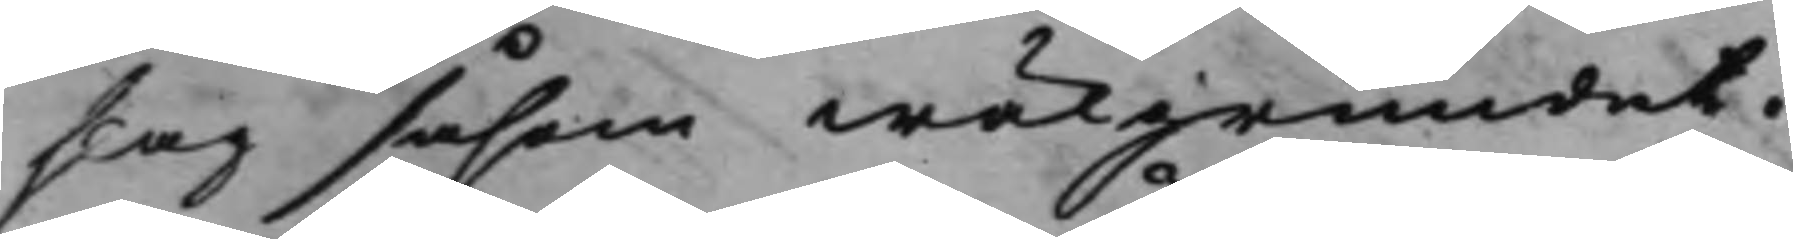slag såsom wälgrundat.
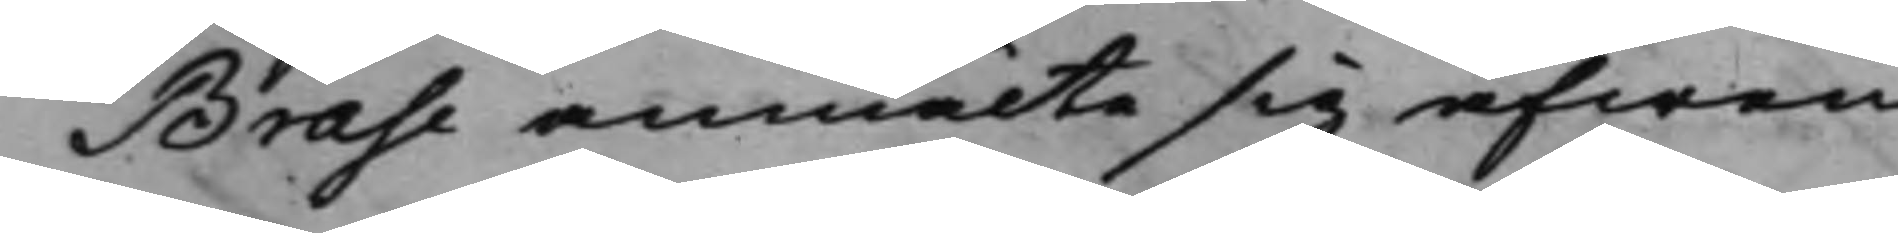Brase anmälte sig äfwen
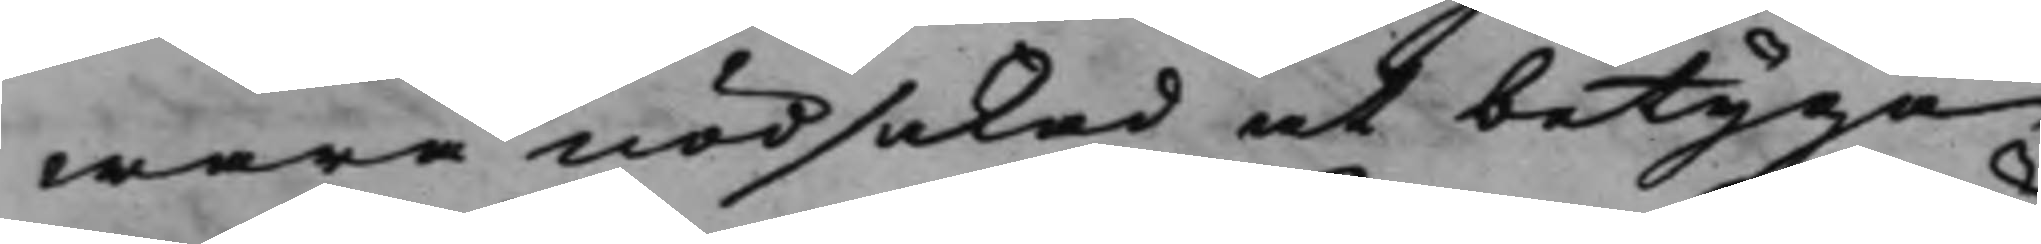wara nödsakad at betyga,
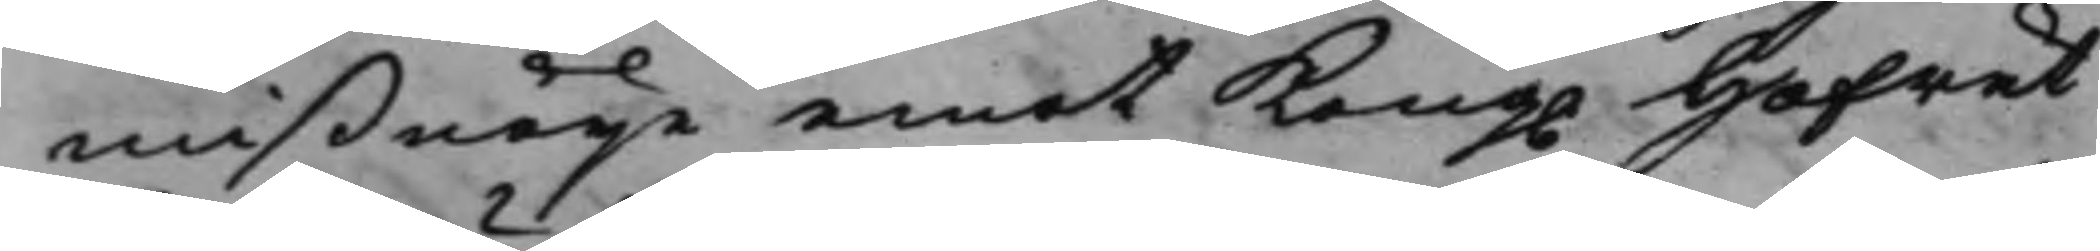mißnöije emot Kong. Hofrät¬ 
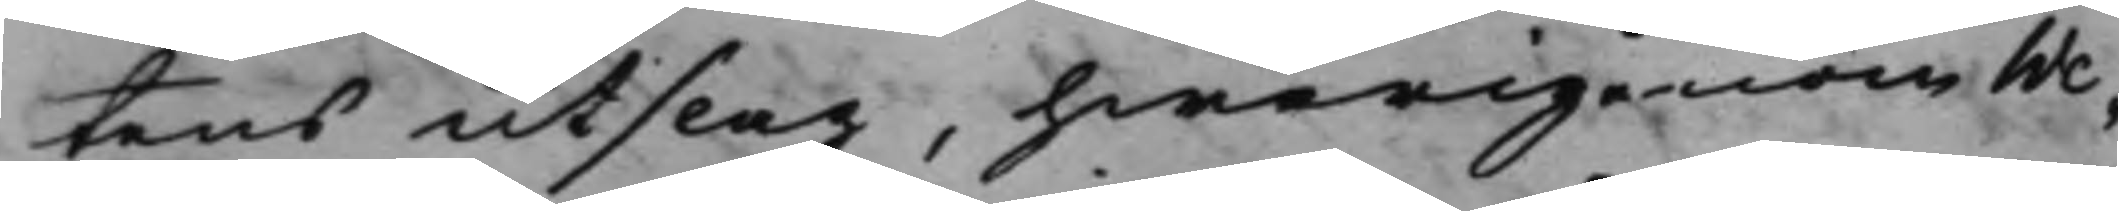tens Utslag, hwarigenom We¬
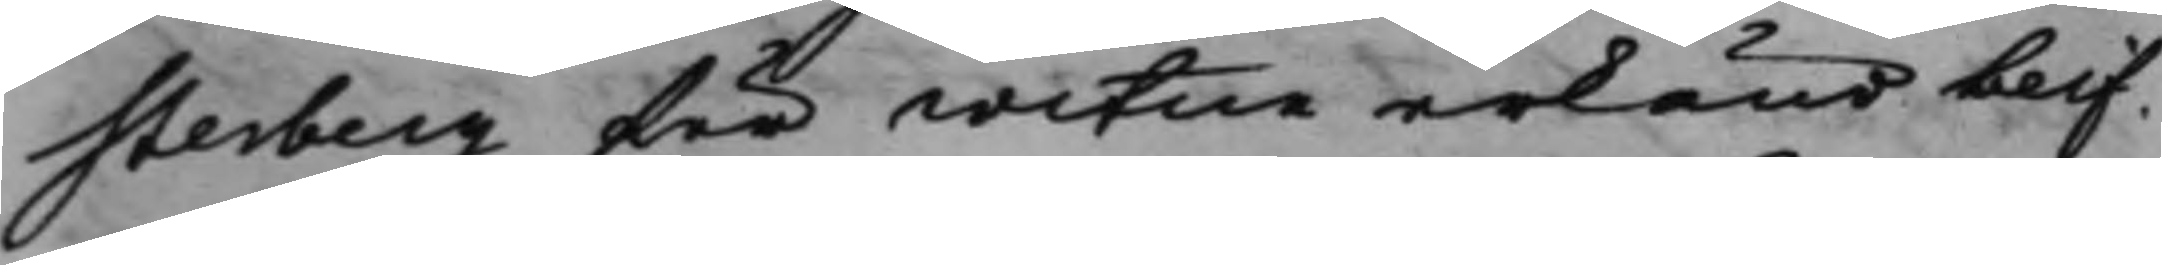sterberg för witne erkänd blif¬
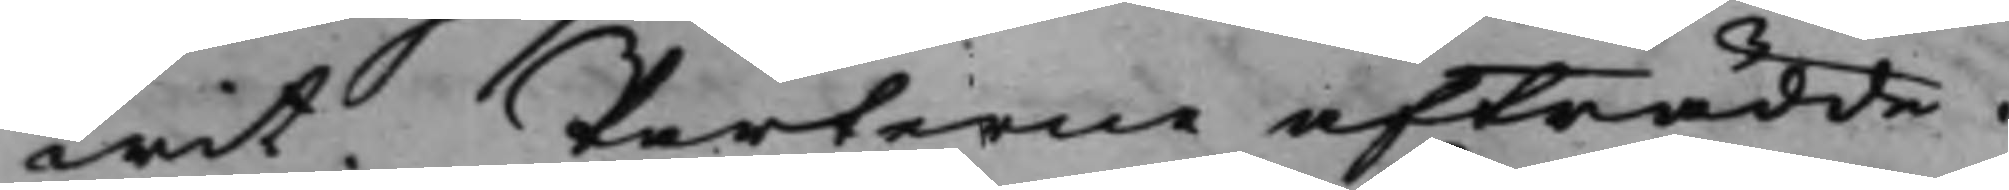wit. Parterne afträdde.
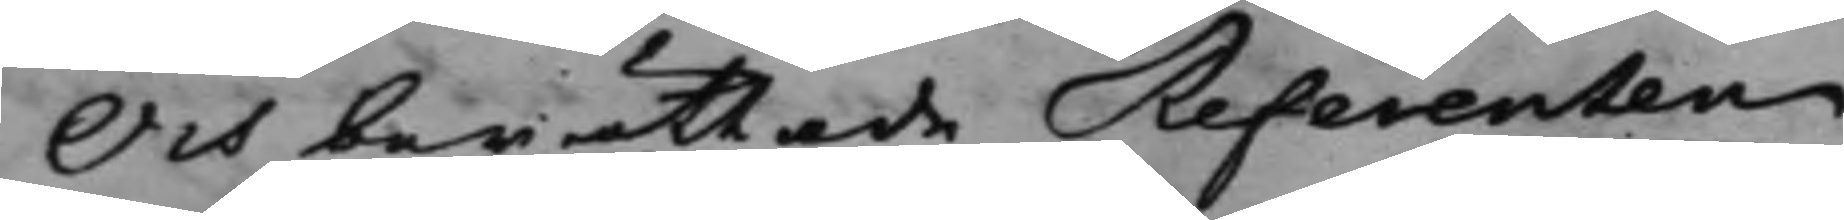Och berättade Referenten
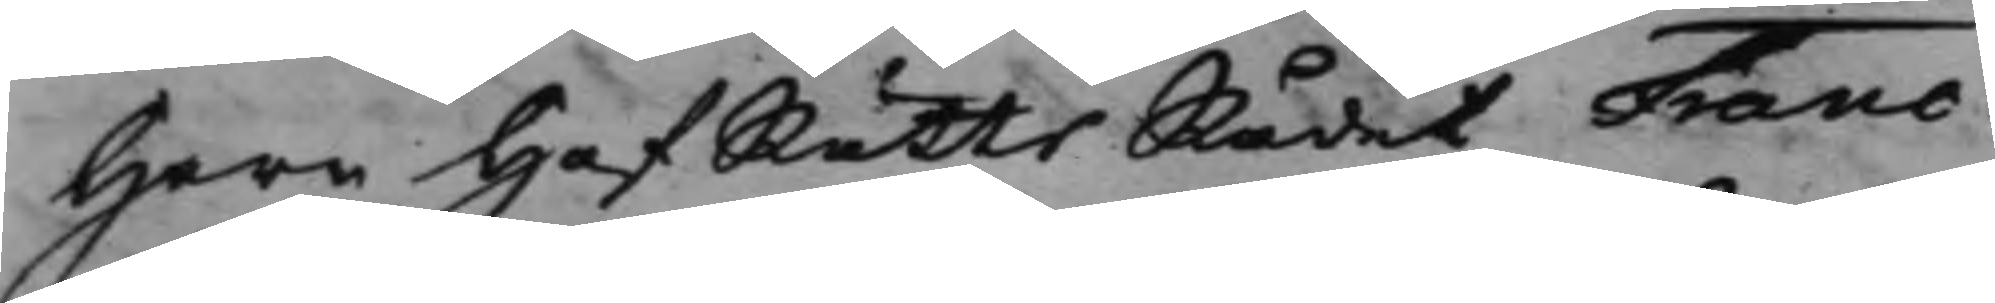Herr HofRättsRådet Franc,
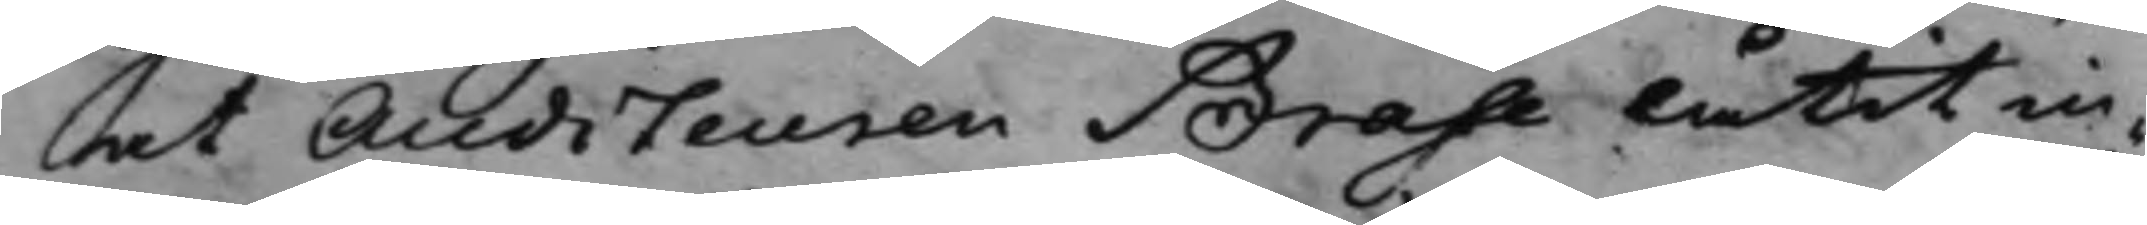at Auditeuren Brase låtit in¬
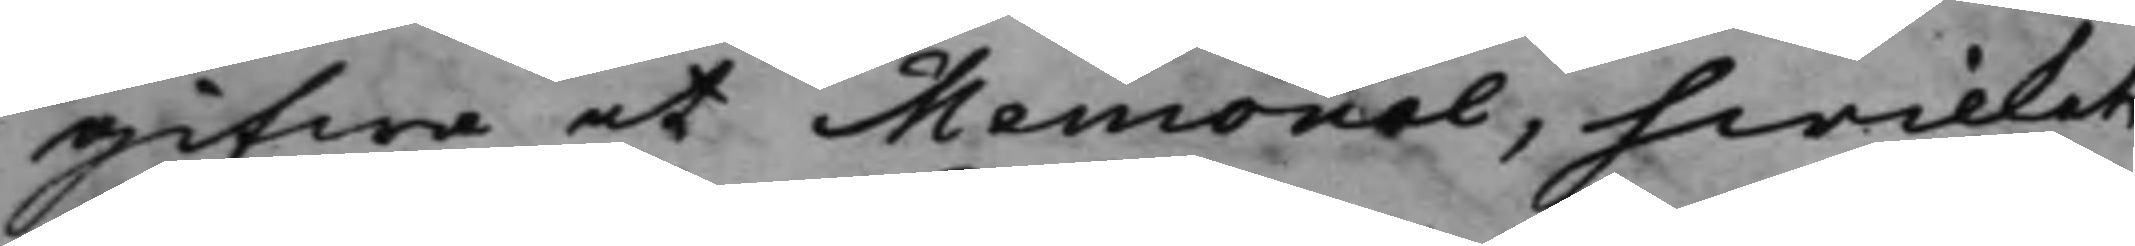gifwa et Memorial, hwilket
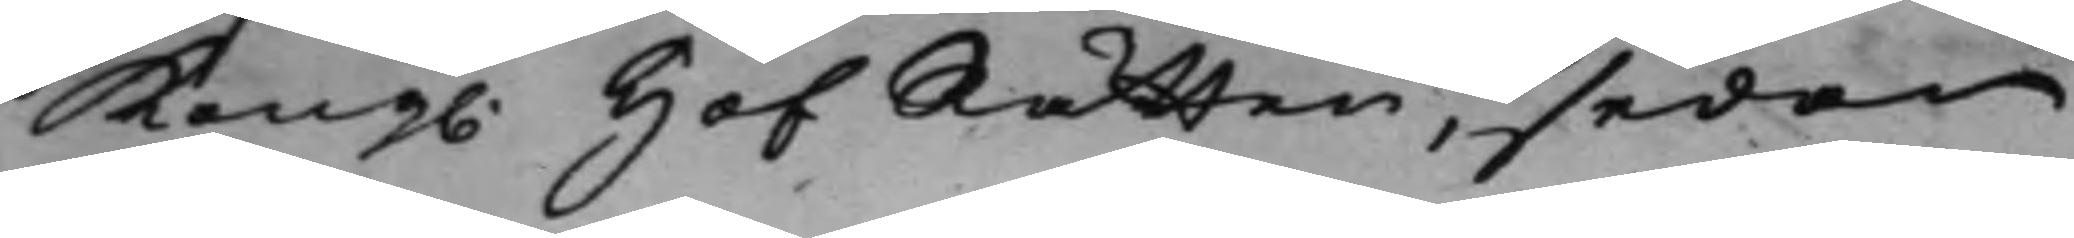Kong. HofRätten, sedan 
